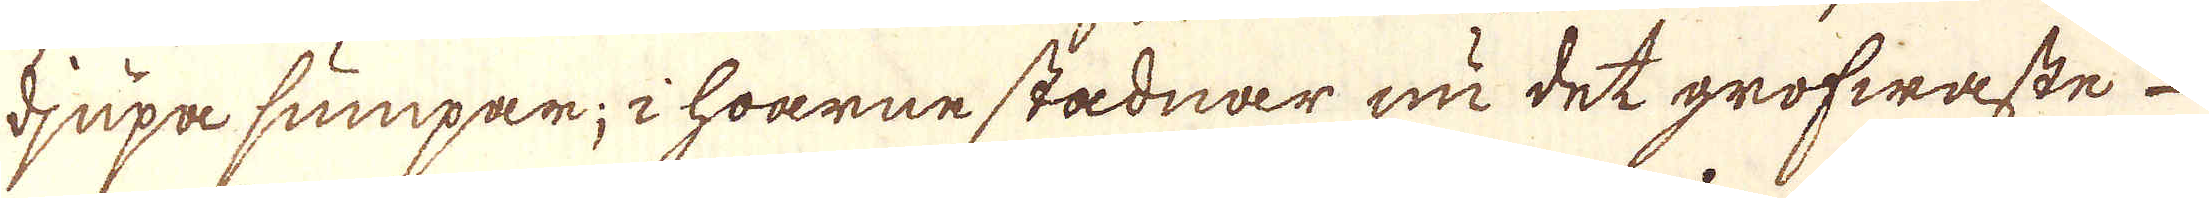djupassumpar; i hoarne stadnar nu det grofwaste
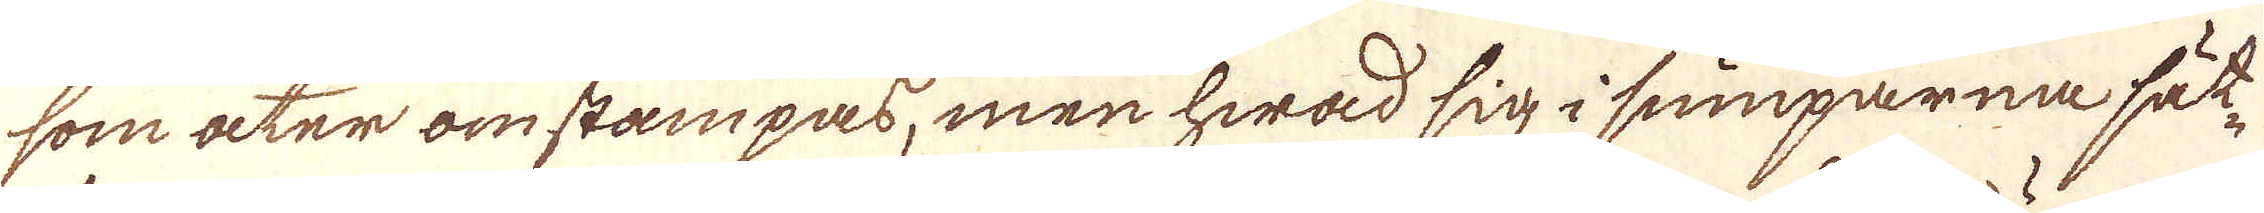som åter omstampass, men hwad sig i sumparna sätt-
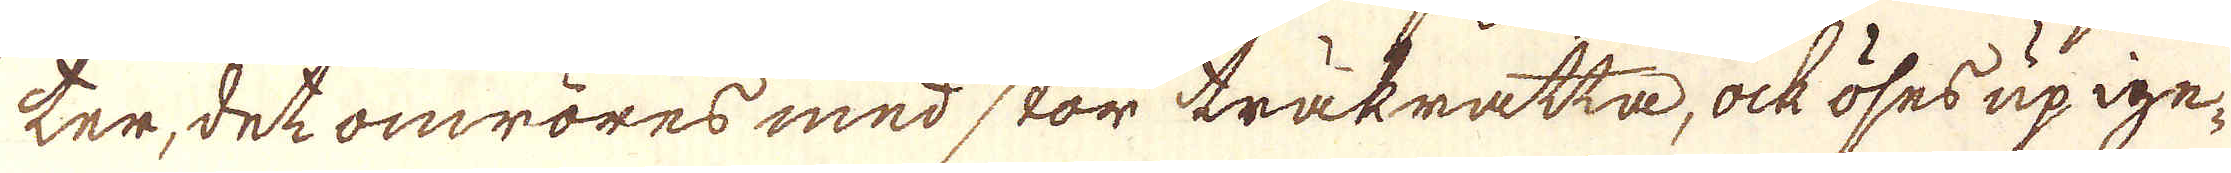ter, det omröres med stor träkratta, ock öses up ige-
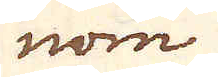nom
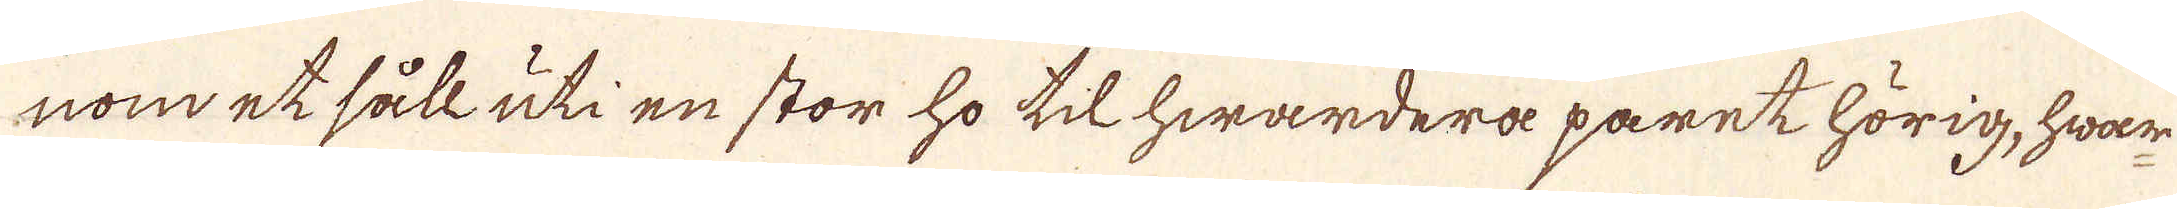nom et såll uti en stor ho till hwardera paret hörig, hwar
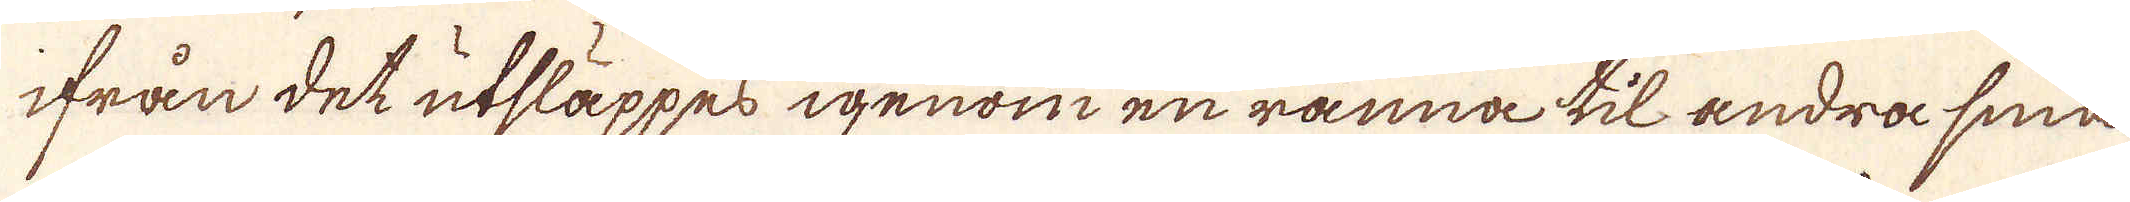ifrån det utsläppes igenom en ränna til andra sinå
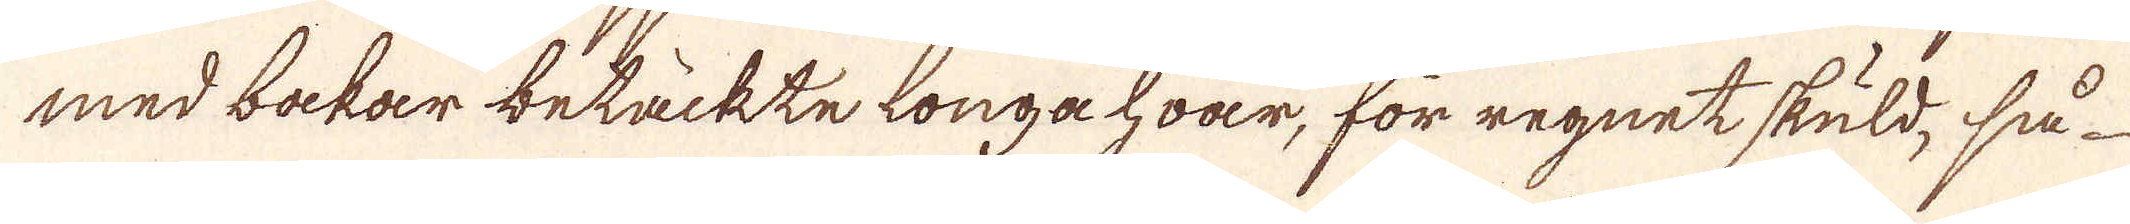med bakar betäckte longa hwar, för regnet skuld, så
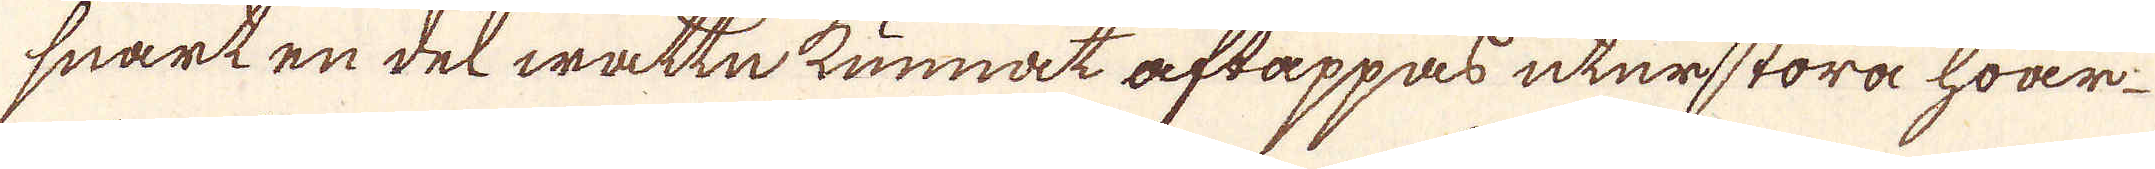snart en del wattn kunnat aftappas utur stora hwar
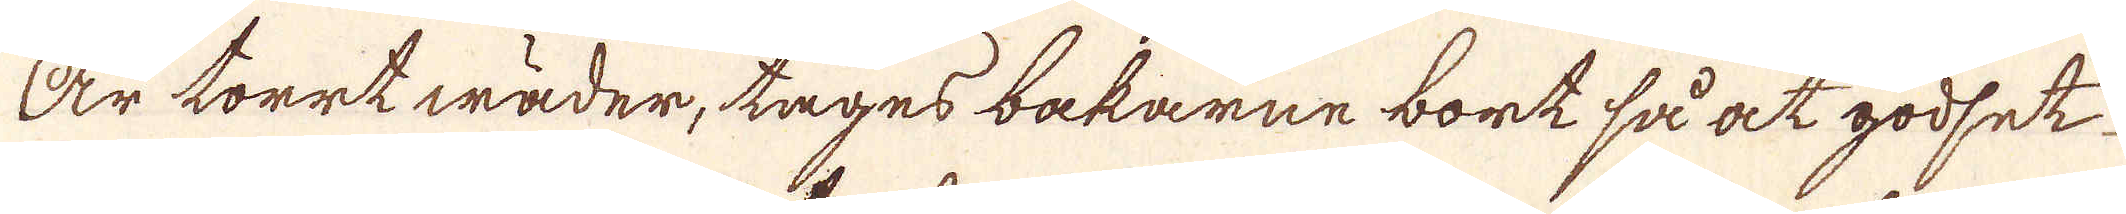Är torrt wäder, tages bakarne bort så at godset
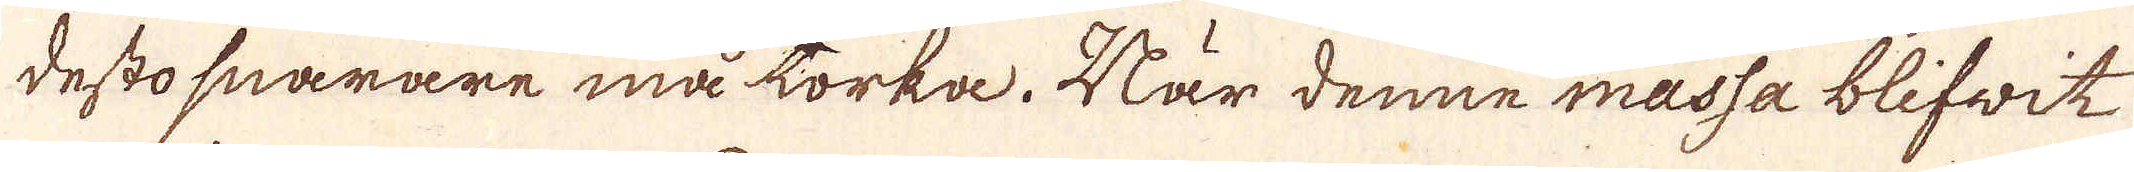desto snarare må torka. När denne massa blifwit
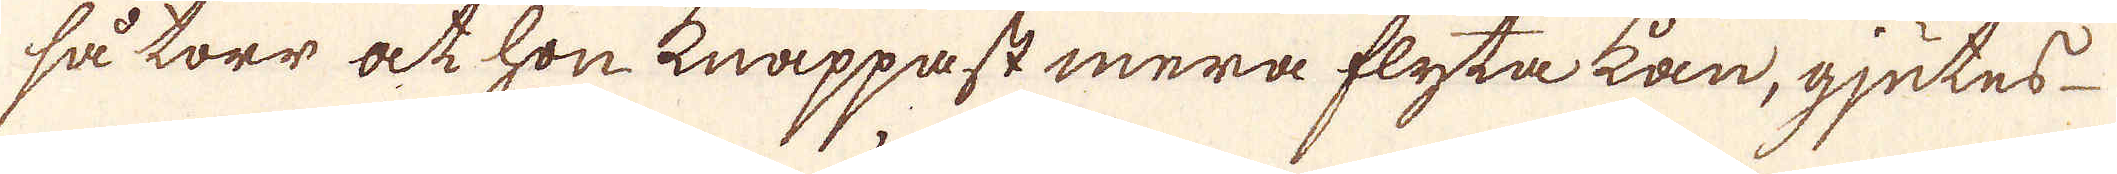så torr at hon knappast mera flyta kan, gjutes
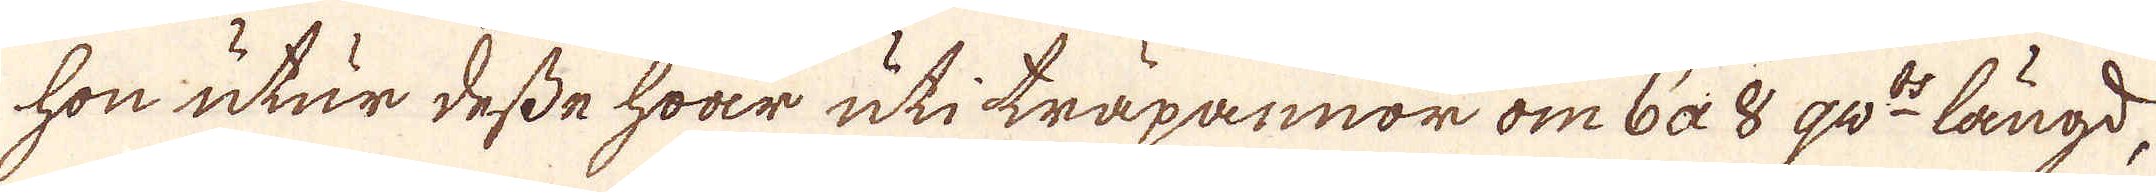hon utur desse hwar uti träpannor om 6 a 8 qw:ts längd,
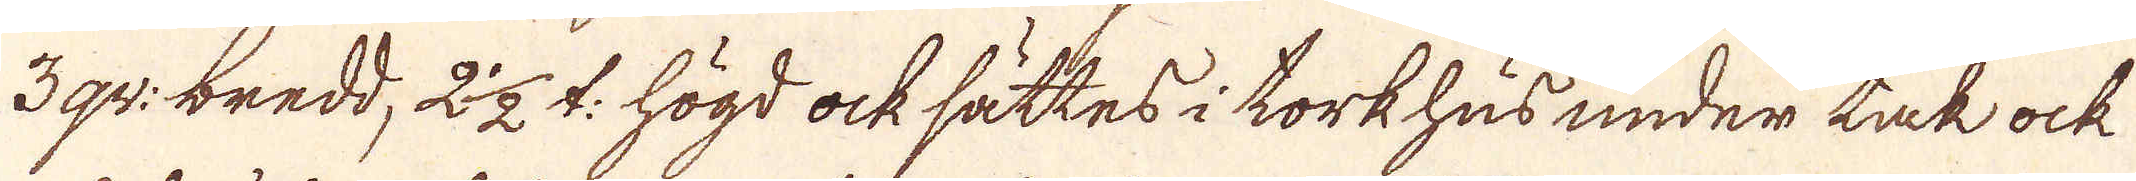3 qw: bredd, 2 1/2 l: högd ock sättes i torkhus under tak ock
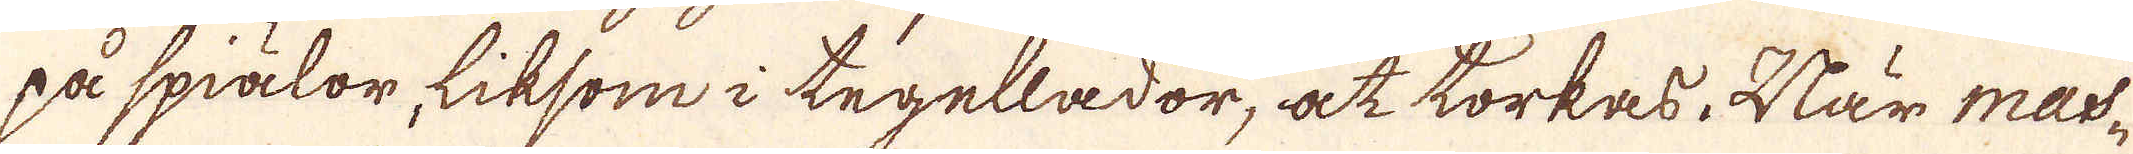på spiälor, liksom i tegellador, at torkas. När mas-
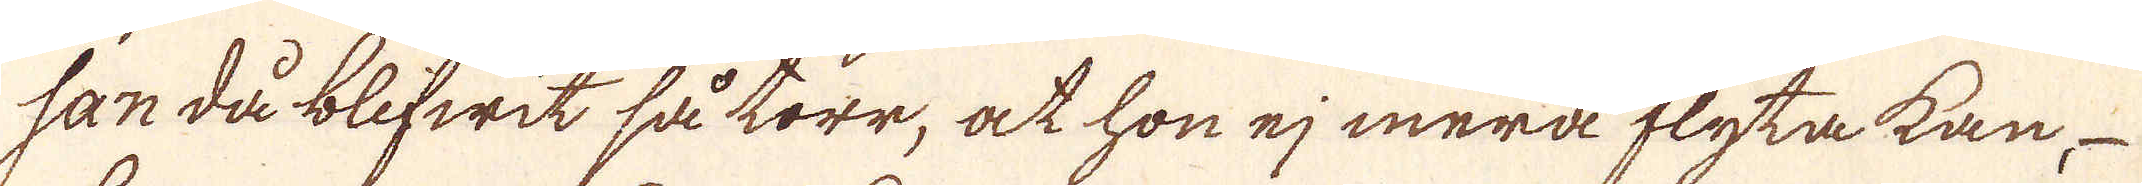san då blifwit så torr, at hon ej mera flyta kan,
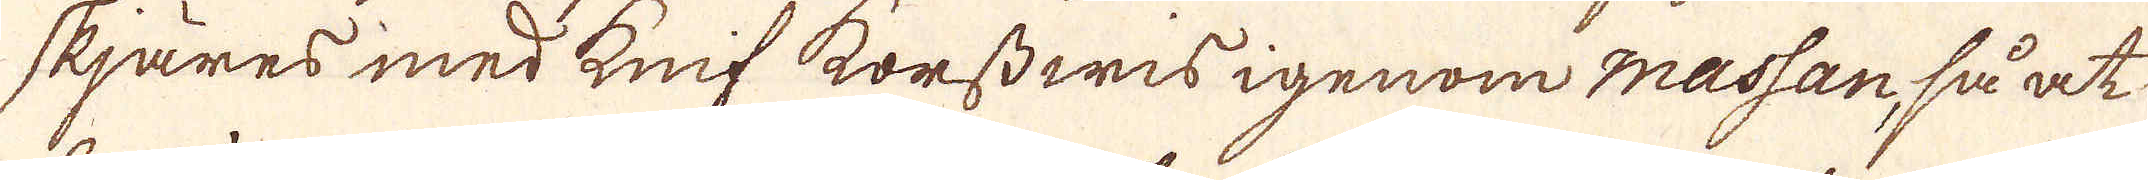skjäres med knif korsswis igenom massan, så at
